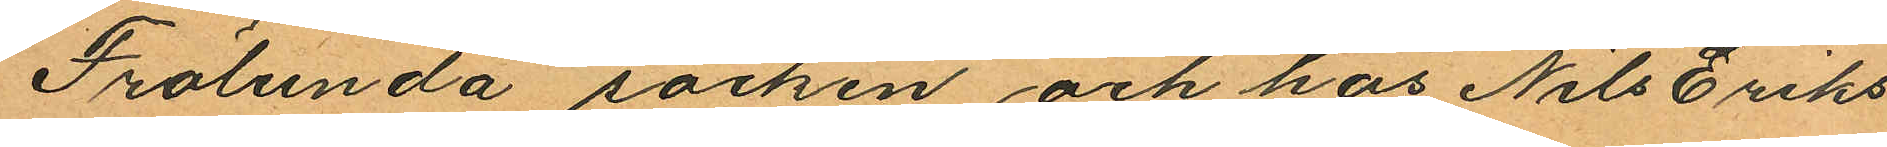Frölunda socken och hos Nils Eriks¬
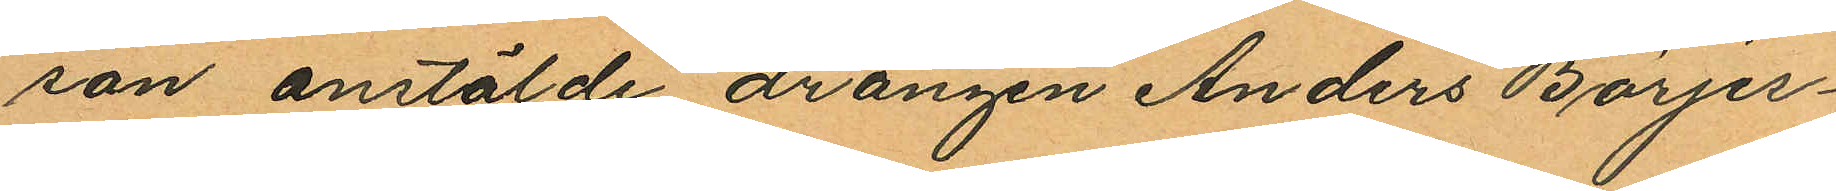son anstälde drängen Anders Börjes¬
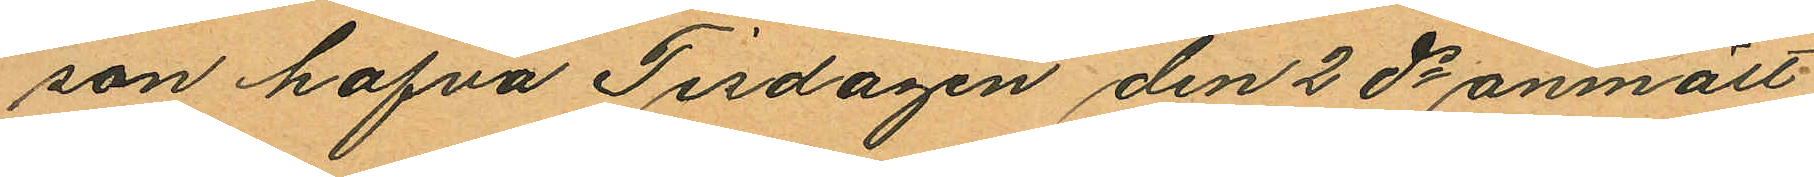son hafva Tisdagen den 2 ds anmält
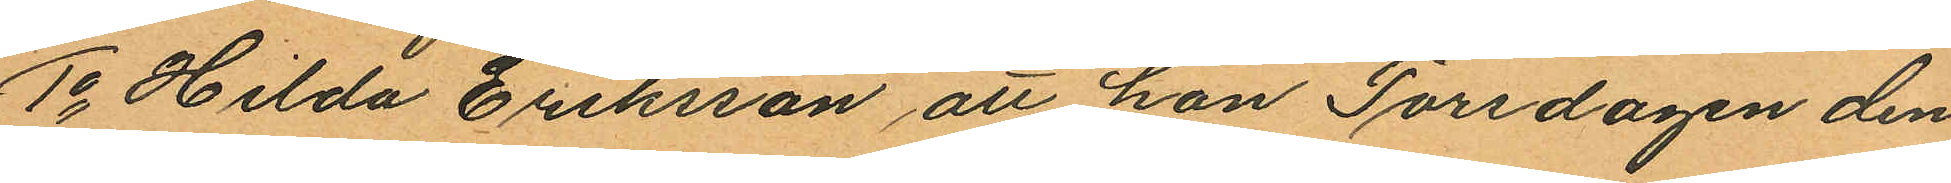1o Hilda Eriksson att hon Torsdagen den
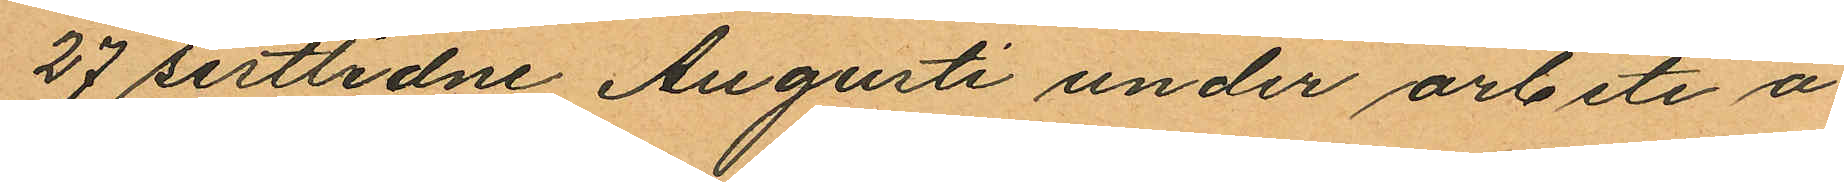27 sistlidne Augusti under arbete å
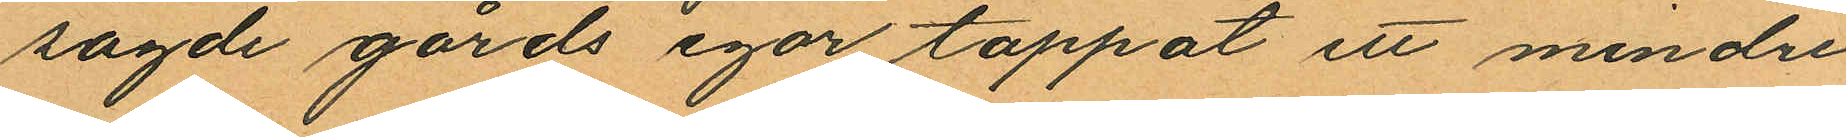sagde gårds egor tappat ett mindre
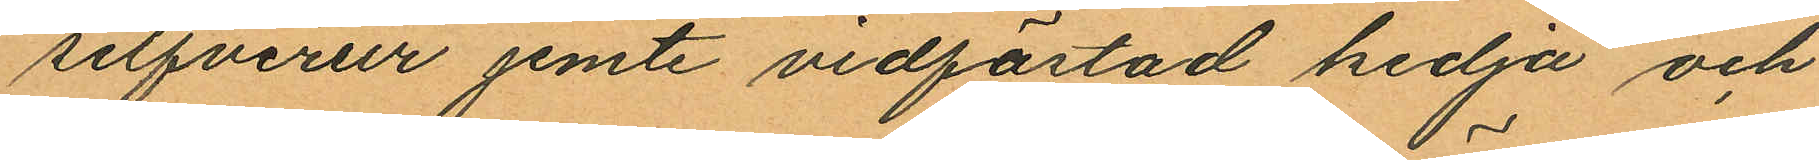silfverur jemte vidfästad kedja och
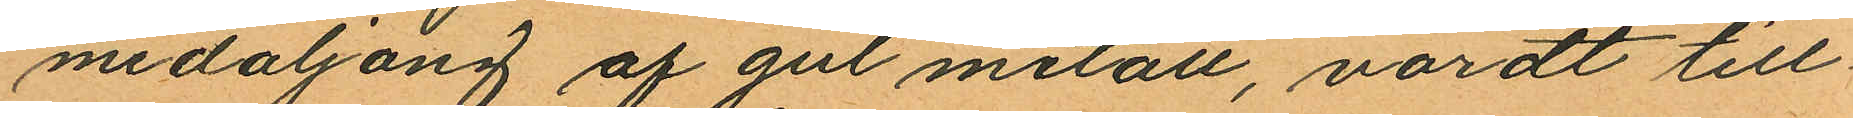medaljong af gul metall, värdt till¬
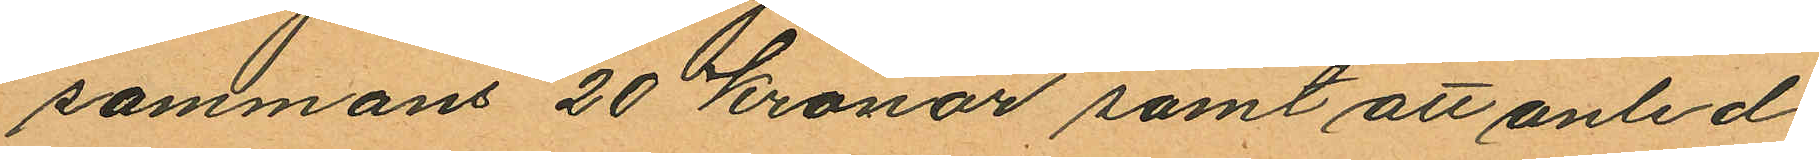sammans 20 kronor samt att anled¬
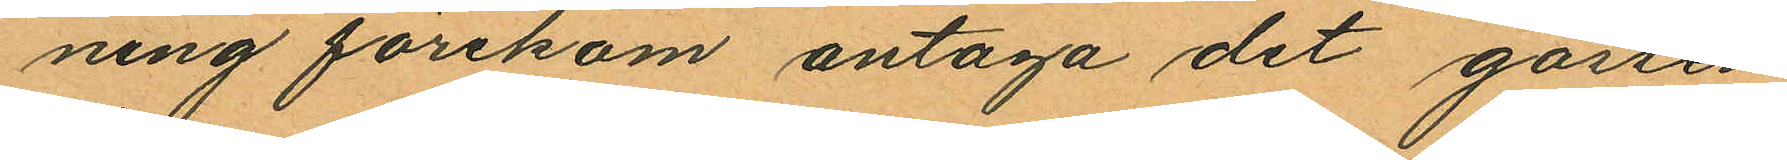ning förekom antaga det gossen
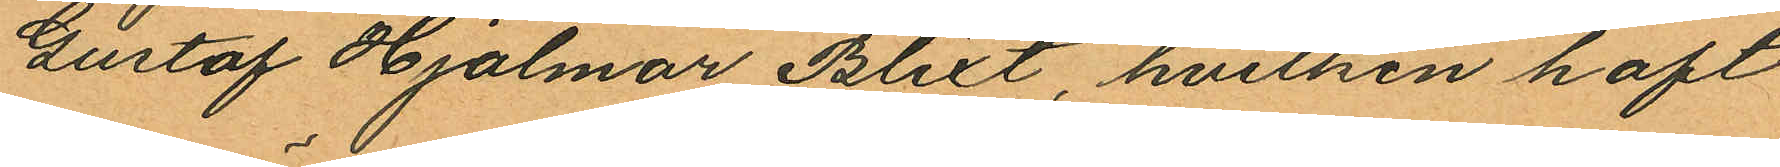Gustaf Hjalmar Blixt, hvilken haft
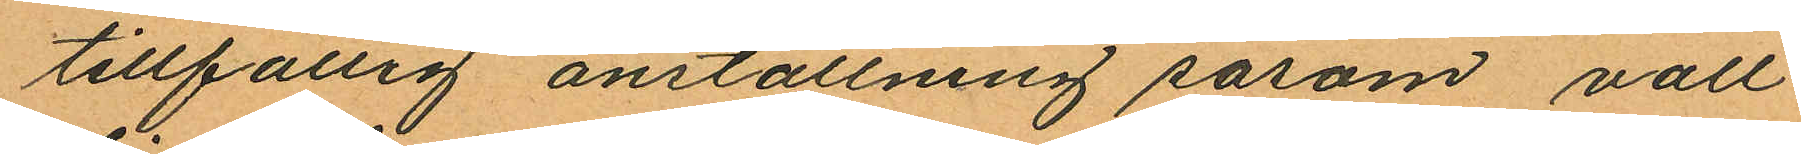tillfällig anställning såsom vall¬
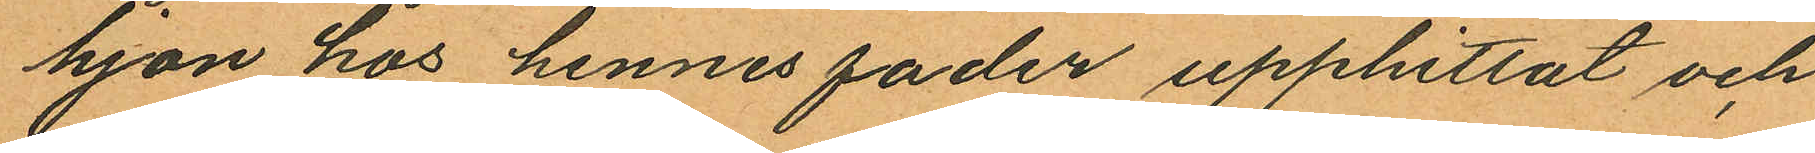hjon hos hennes fader upphittat och
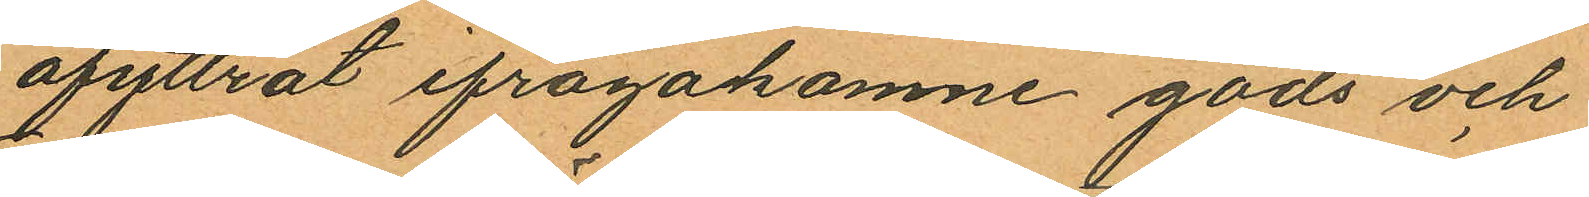afyttrat ifrågakomne gods och
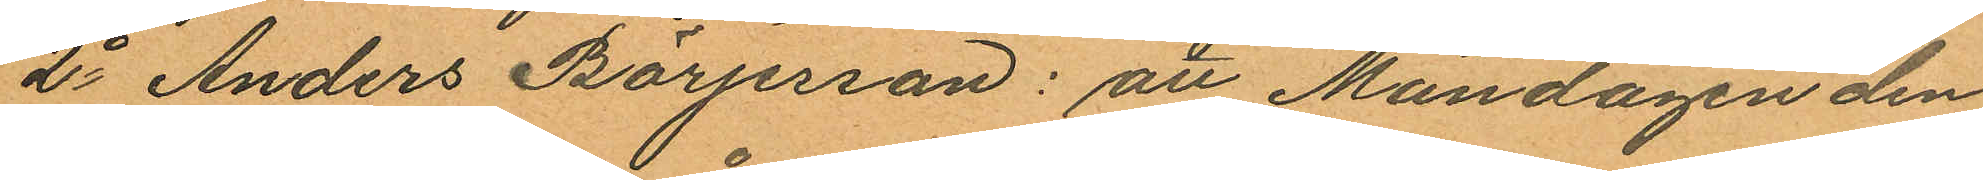2o Anders Börjesson: att Måndagen den
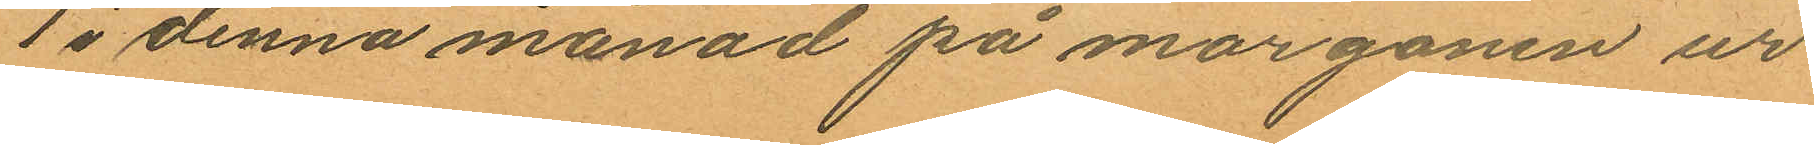1 i denna månad på morgonen ur
